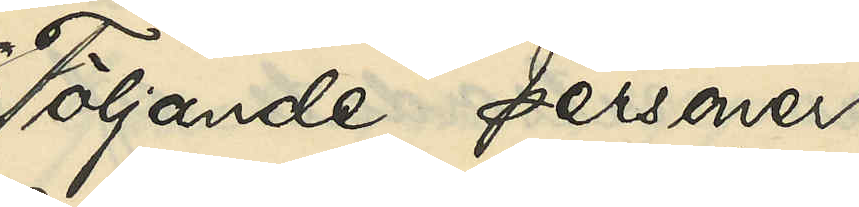Följande personer
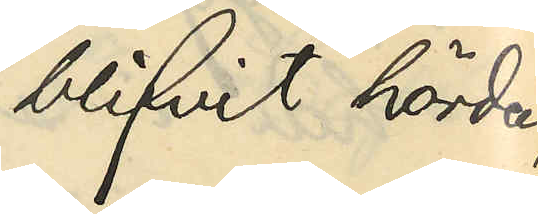blifvit hörda,
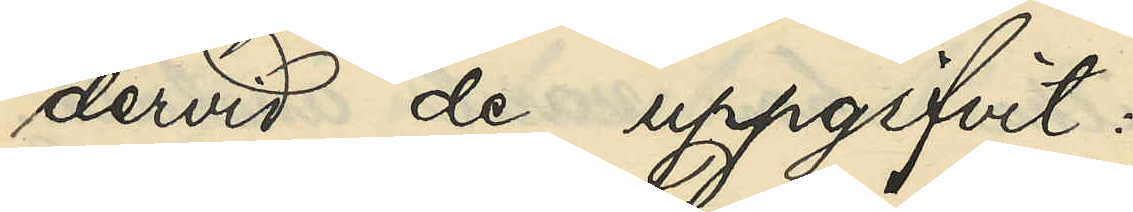dervid de uppgifvit:
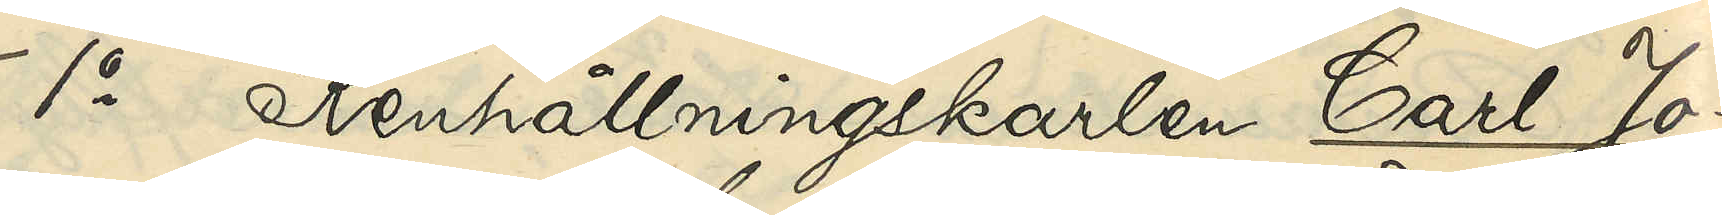1o Renhållningskarlen Carl Jo¬
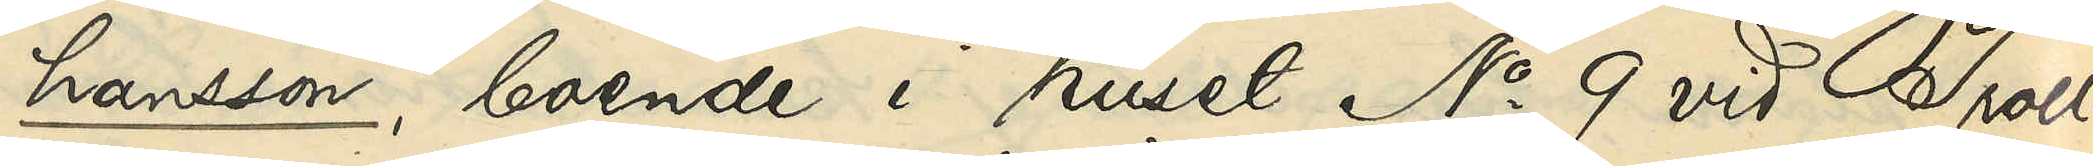hansson, boende i huset No 9 vid Troll¬
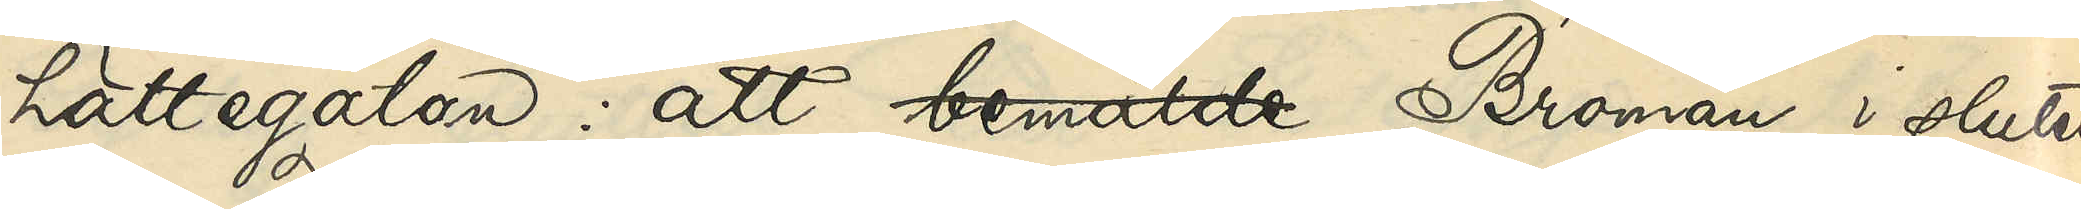hättegatan: att bemälde Broman i slutet
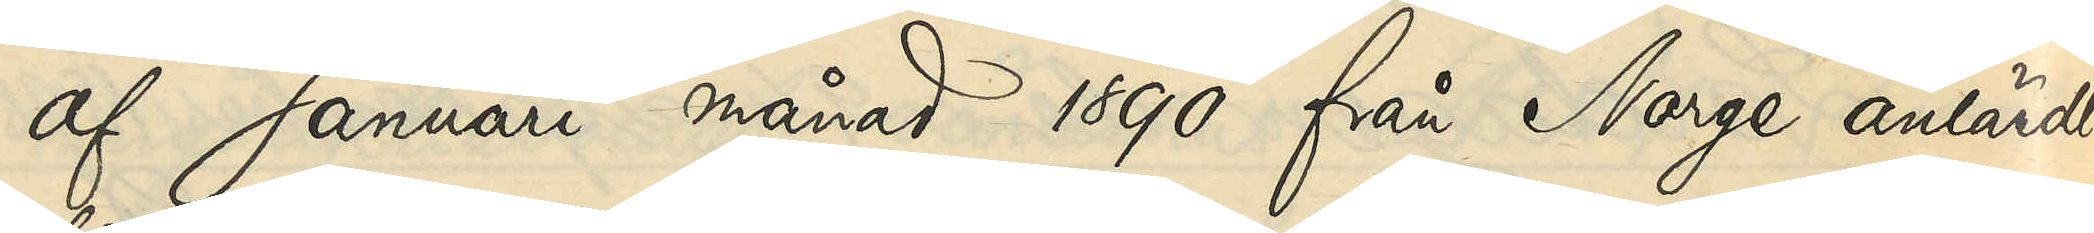af Januari 1890 från Norge anländt
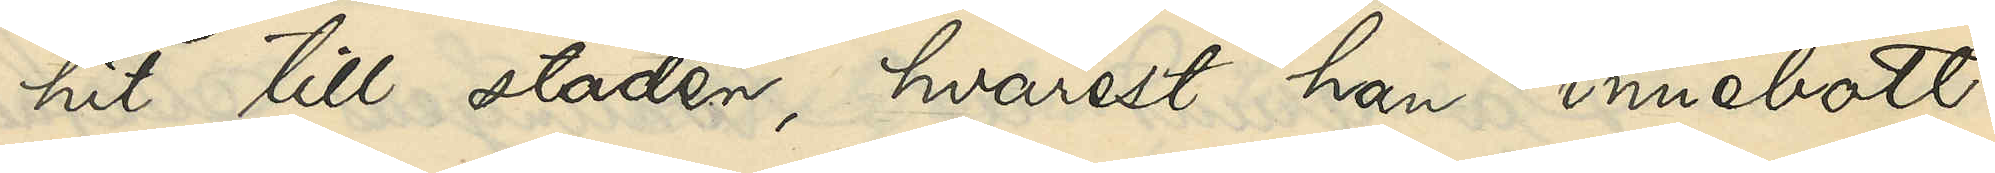hit till staden, hvarest han innebott
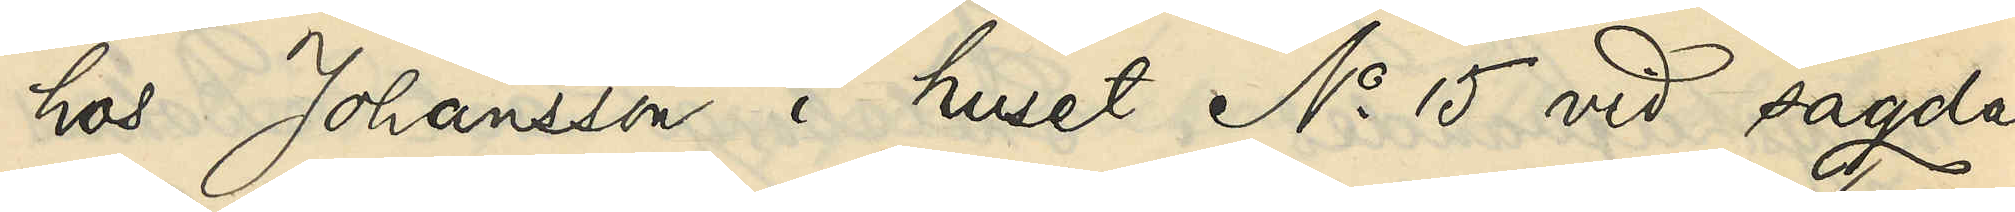hos Johansson i huset No 15 vid sagde
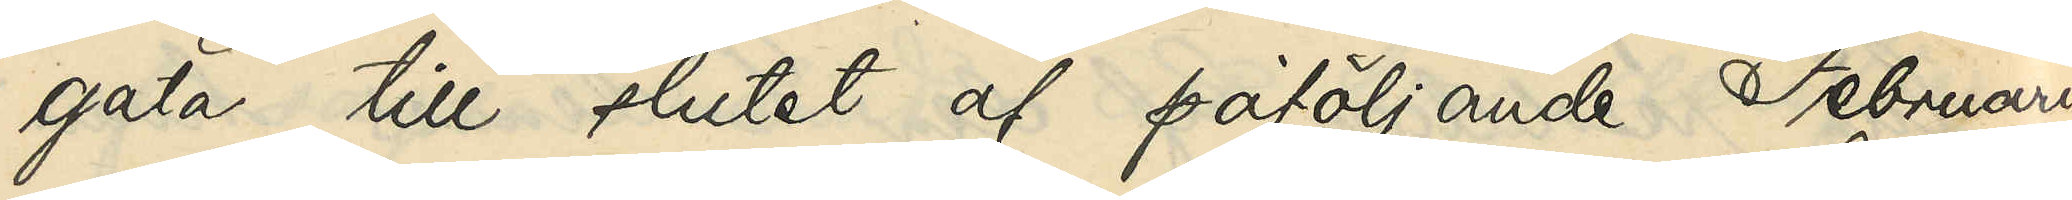gata till slutet af påföljande Februari
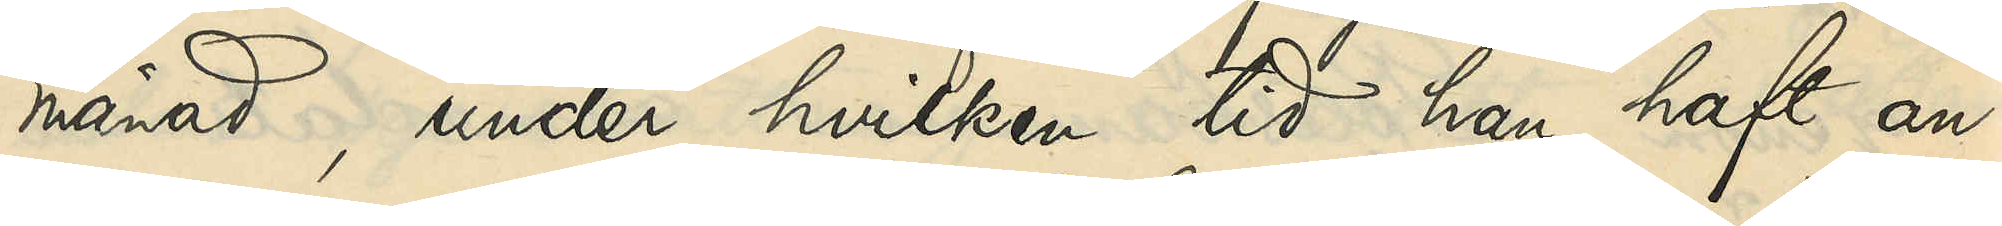månad, under hvilken tid han haft an¬
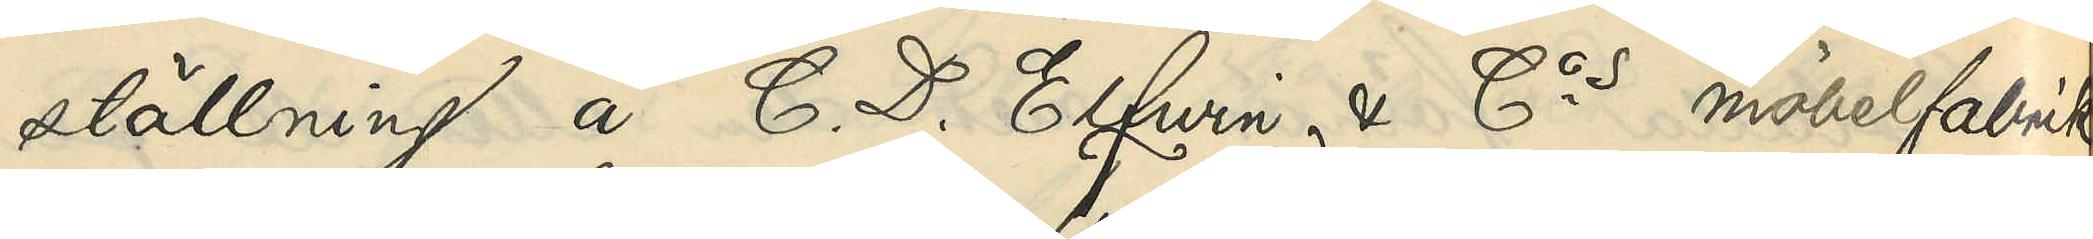ställning å C. D. Elfwin & Cos möbelfabrik
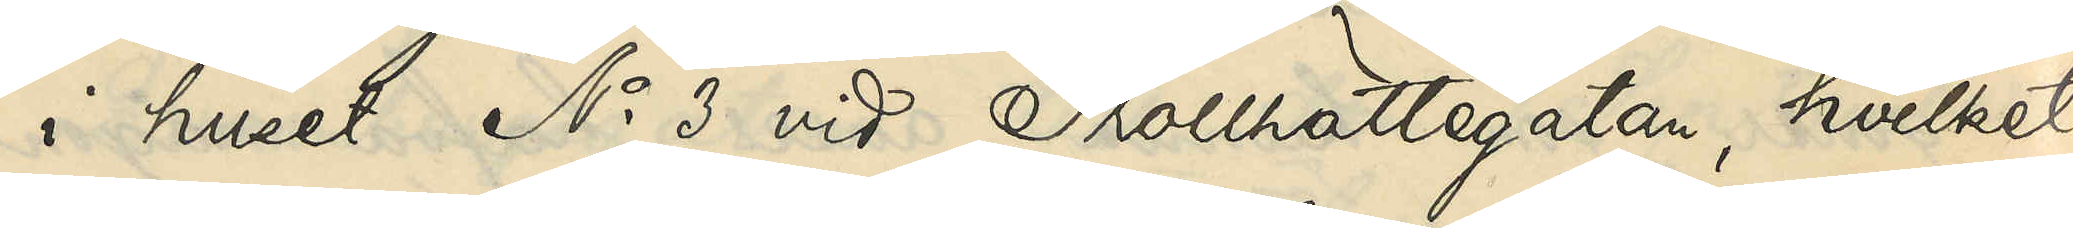i huset No 3 vid Trollhättegatan, hvilket
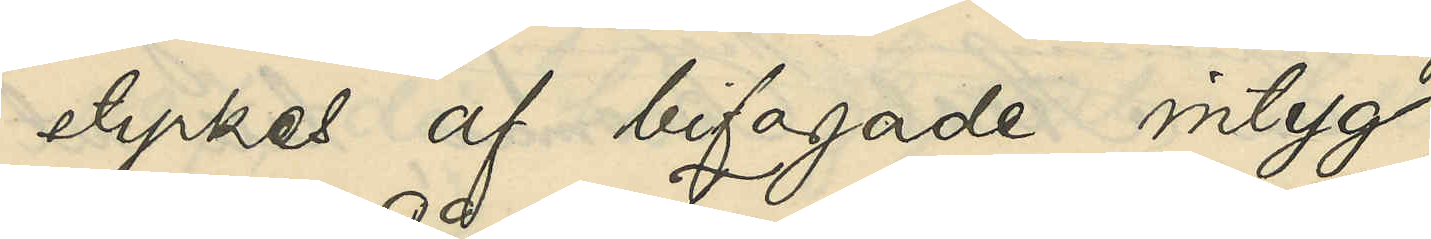styrkes af bifogade intyg;
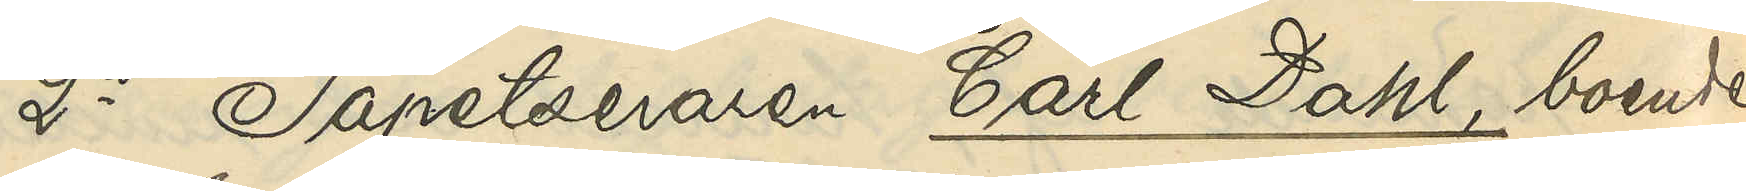2o Tapetseraren Carl Dahl, boende
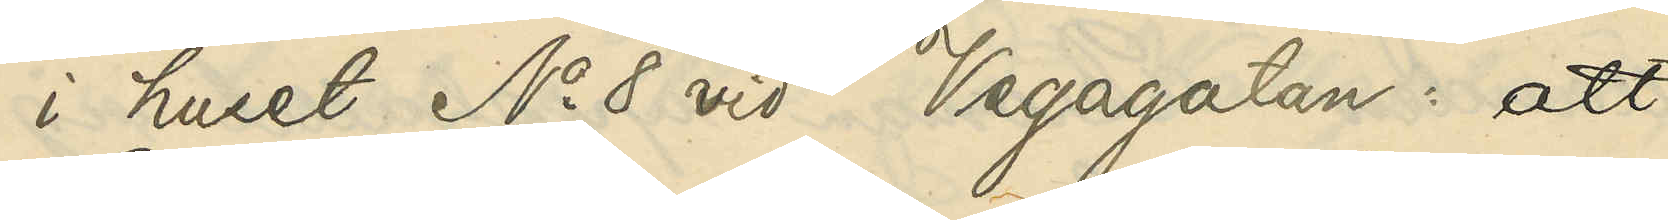i huset No 8 vid Vegagatan: att
